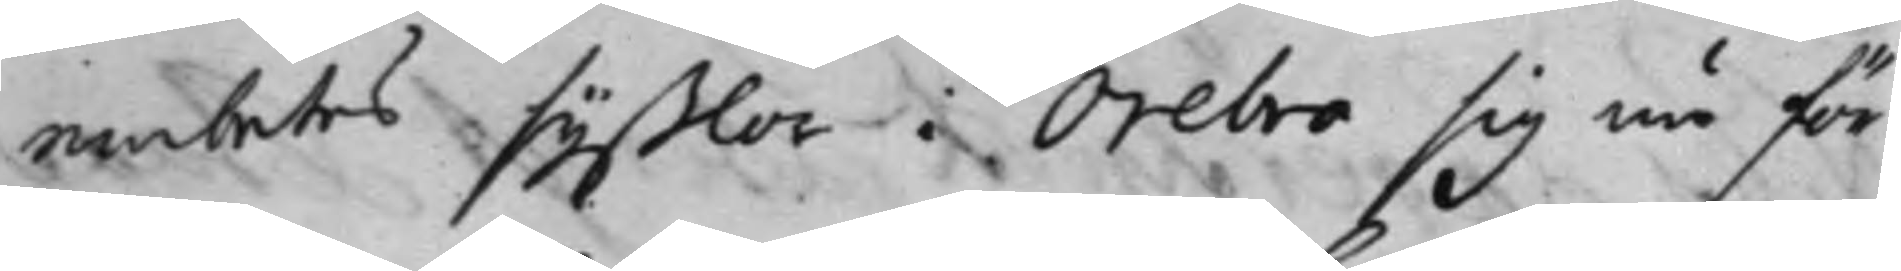embetes syßlor i Örebro sig nu för¬
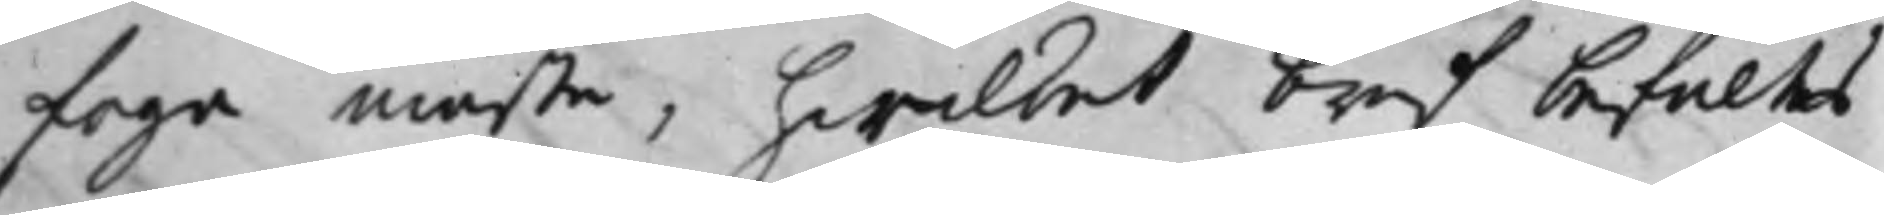foga måste, hwilket bref befaltes
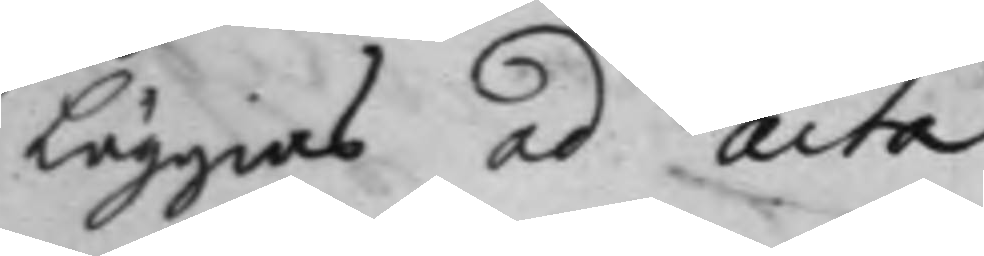Läggias ad Acta.
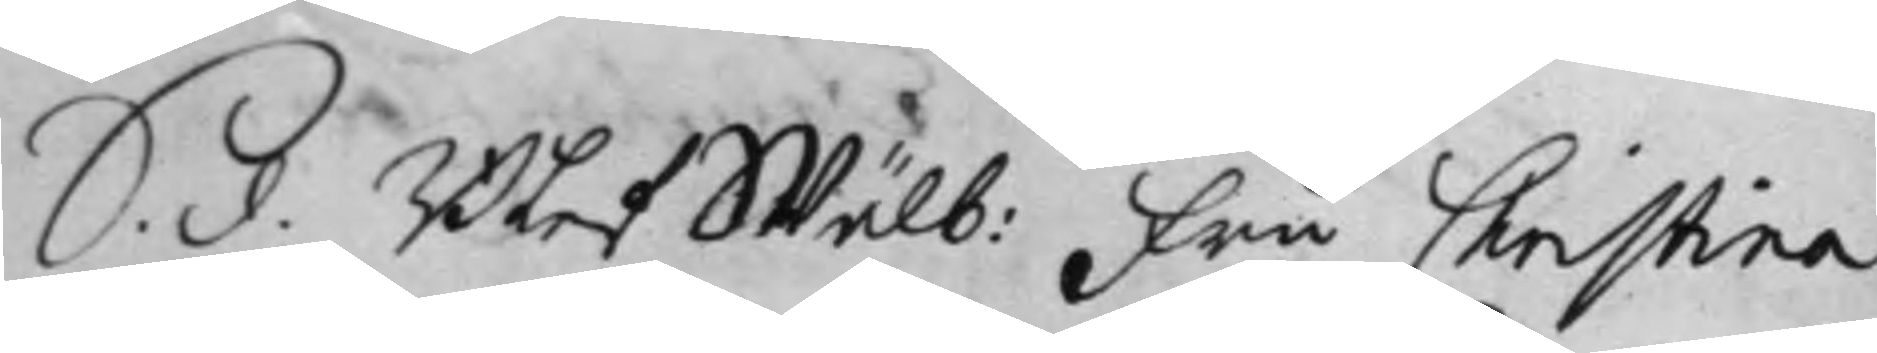S. d. Blef Wälb: Fru Christina
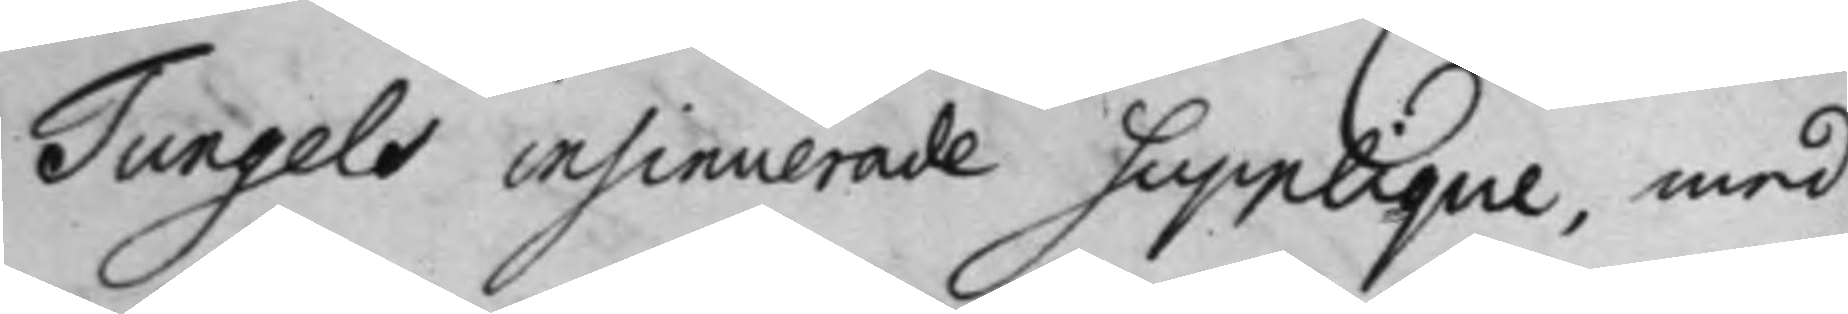Tungels insinuerade Supplique, med
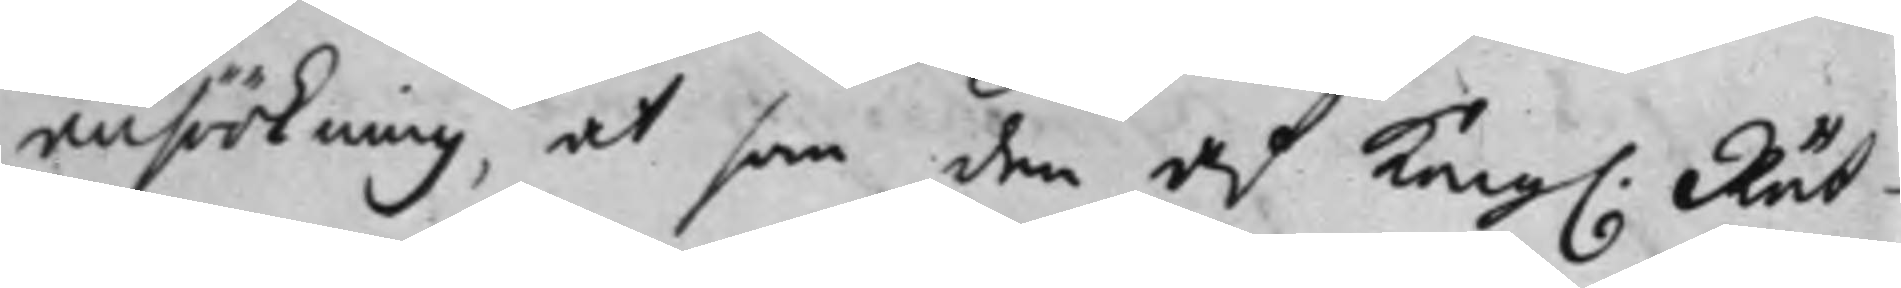ansökning, at som den af Kong. Rät¬
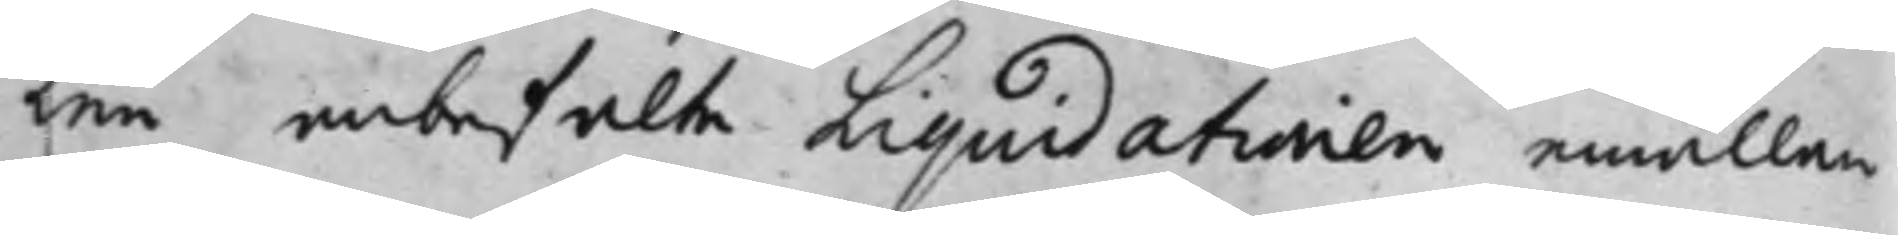ten anbefalte Liquidationen emällan
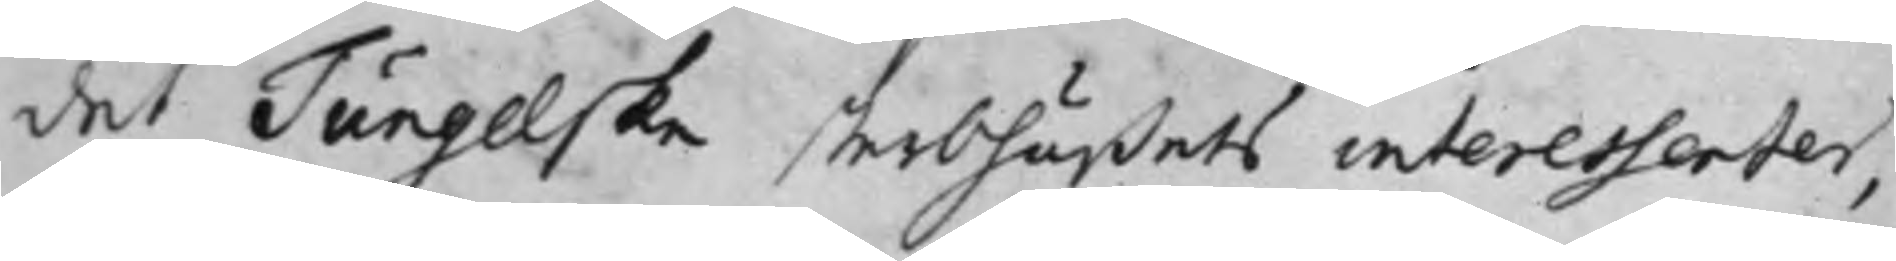det Tungelska sterbhusets interessenter,
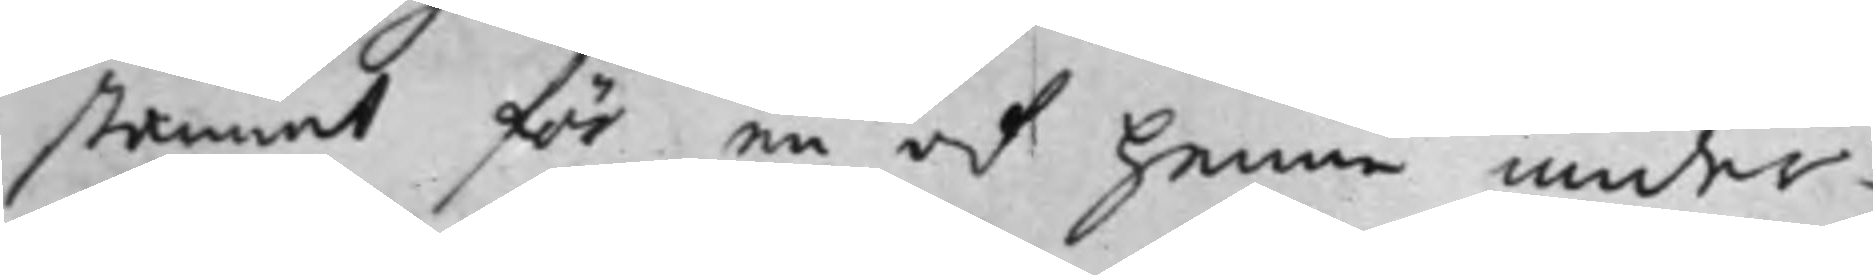stannat för en af hennes under¬
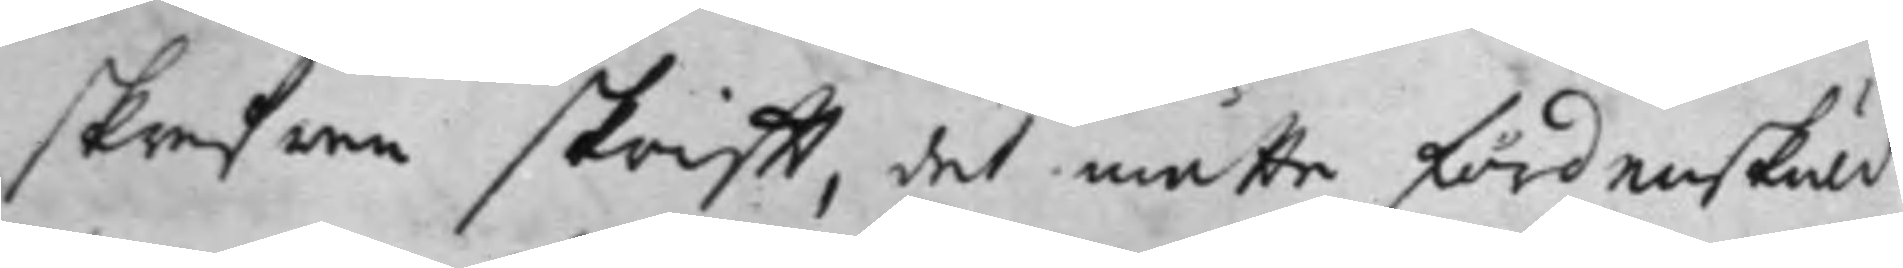skrefne skrifft, det måtte fördenskuld
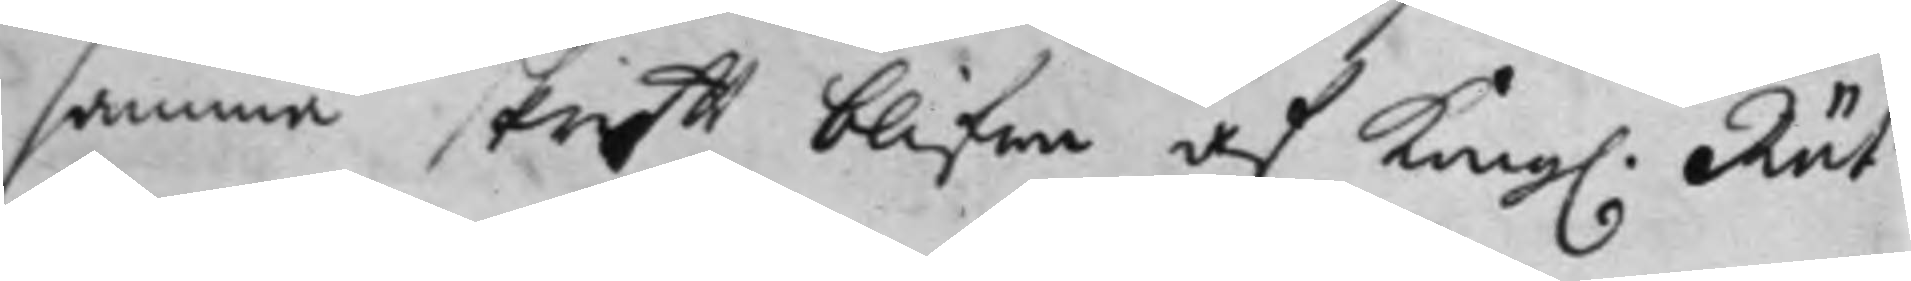samma skrifft blifwa af Kong. Rät¬
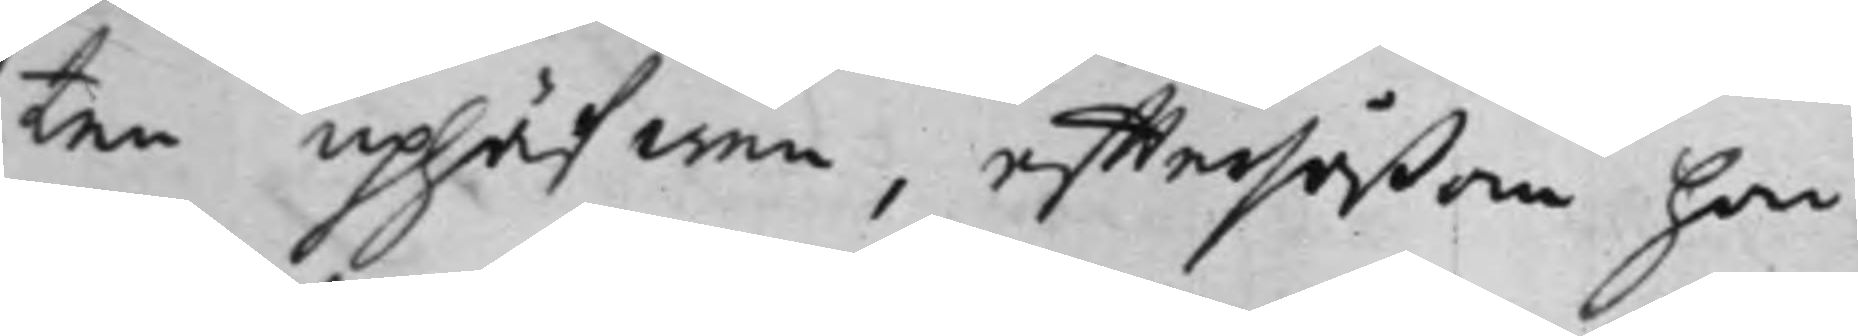ten uphäfwen, efftersåßom hon
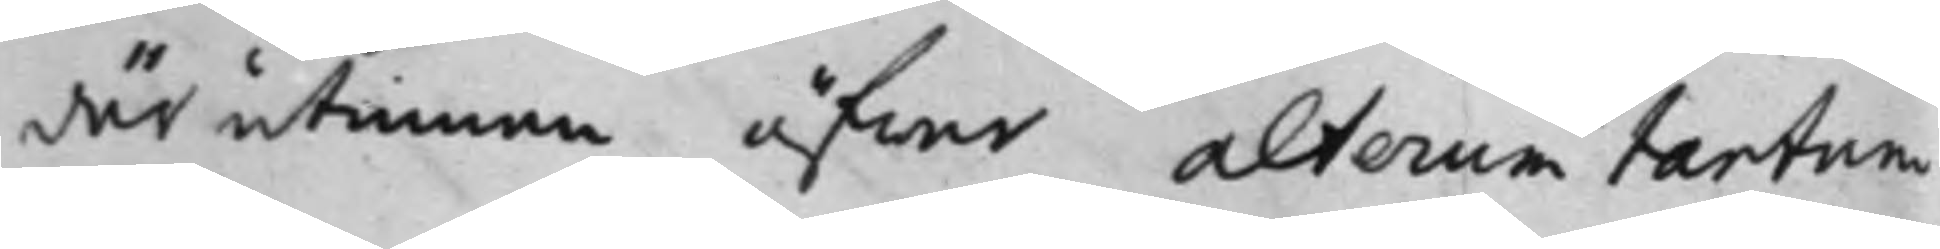därutinnan öfwer alterum tantum
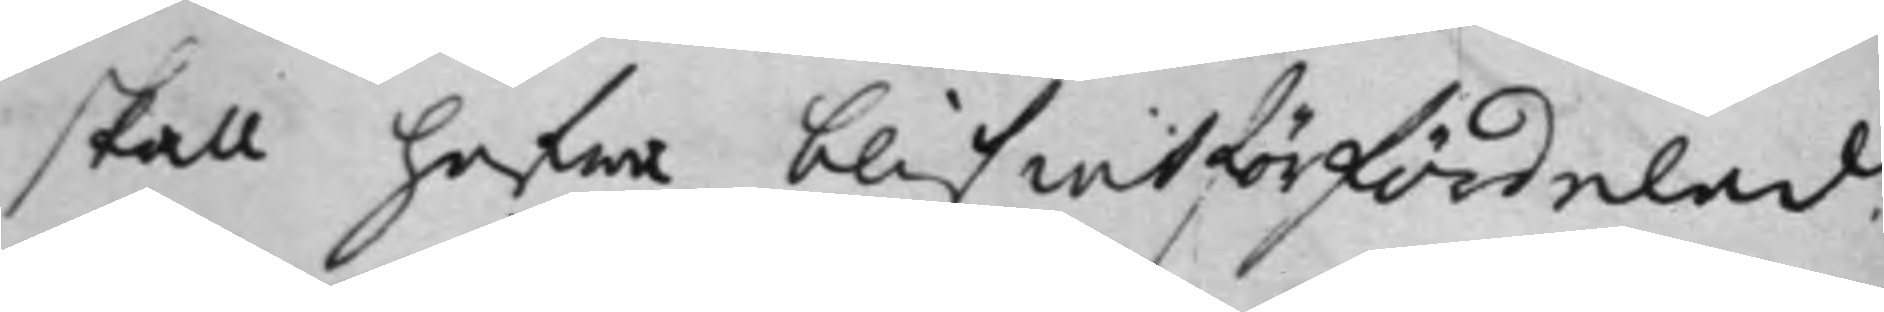skall hafwa blifwit förfördelad
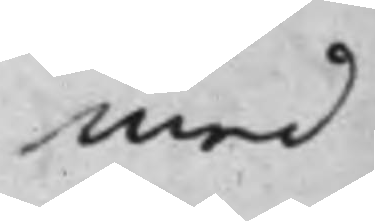med
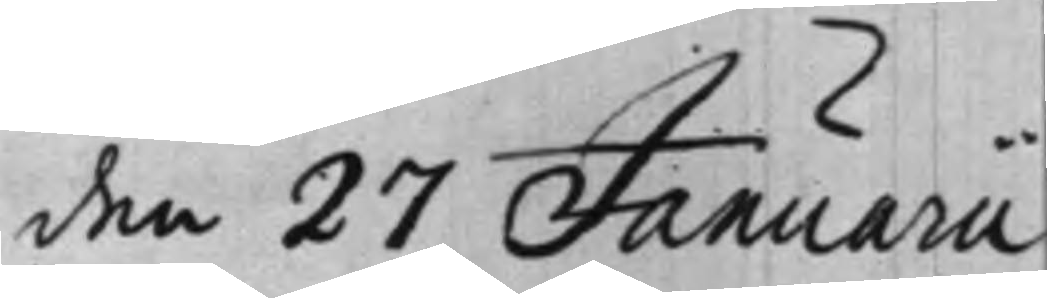den 27 Januarii
